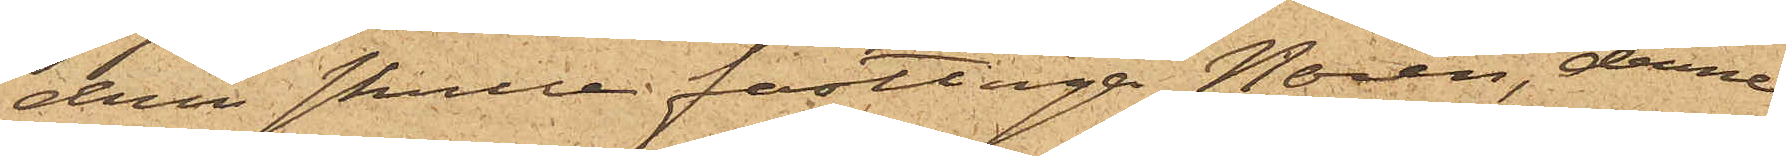drén skulle fasttaga Norén, denne
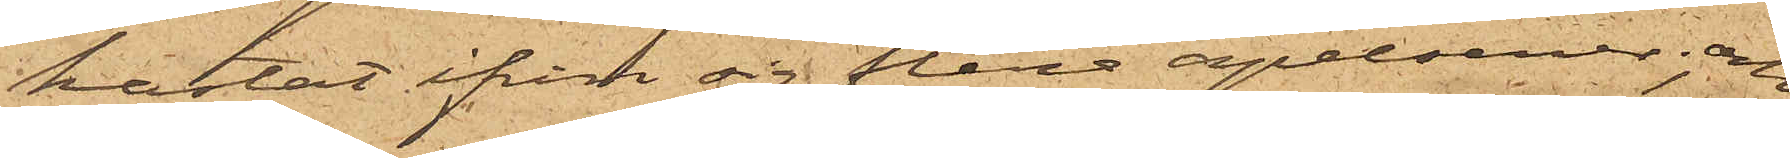kastat ifrån sig flera apelsiner; och
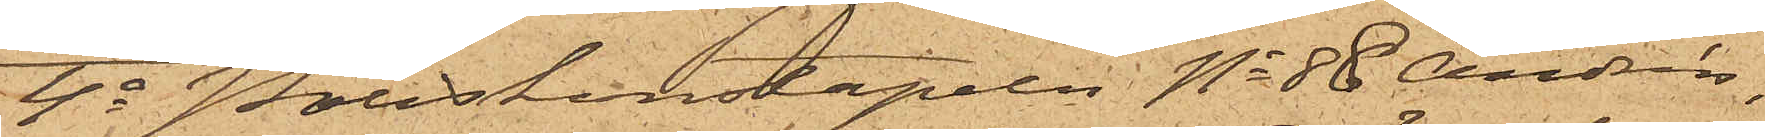4o Poliskonstapeln No 88 Andrén,
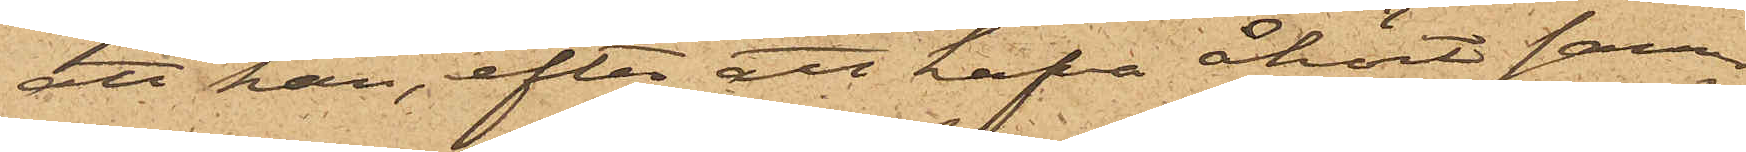att han, efter att hafva åhört sam¬
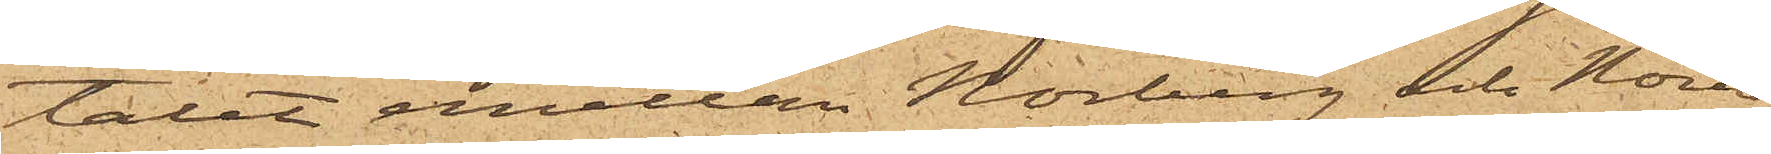talet emellan Norberg och Norén,
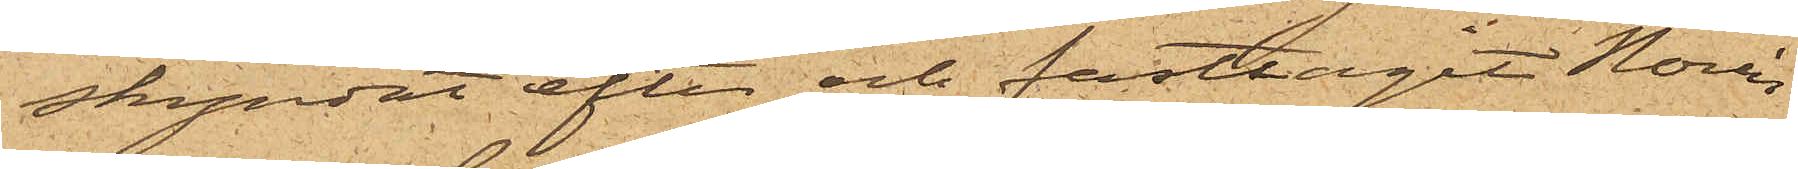skyndat efter och fasttagit Norén
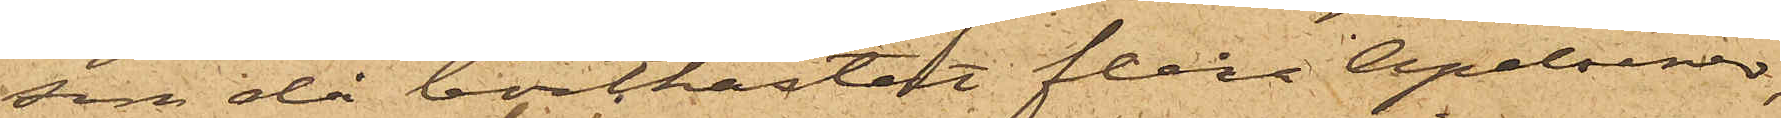som då bortkastat flera Apelsiner,
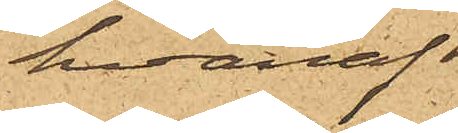hvaraf
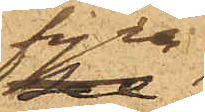han
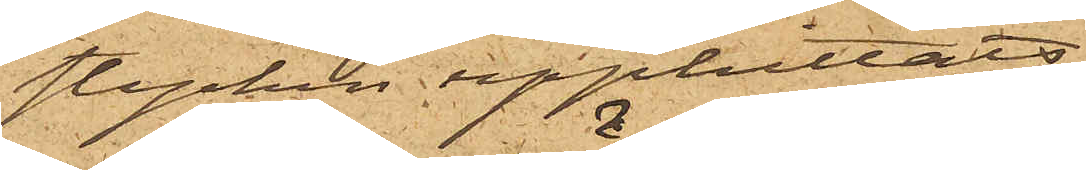stycken upphittats
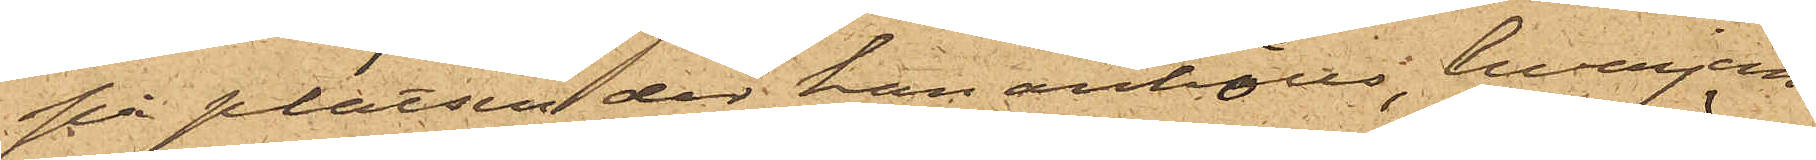på platsen der han anhölls, hvarjem¬
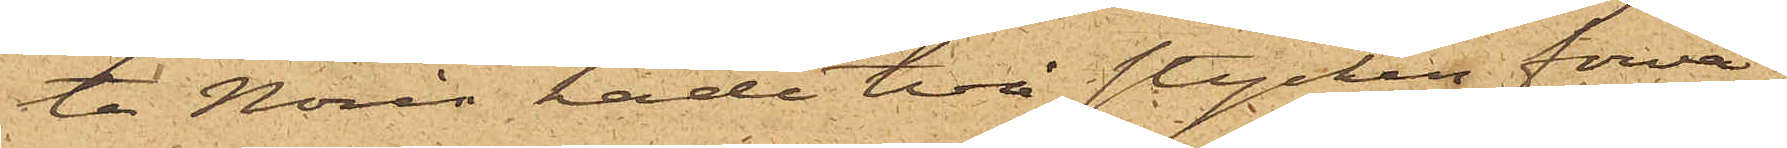te Norén hade två stycken förva¬
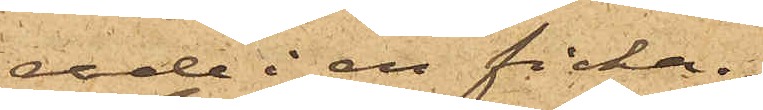rade i en ficka.
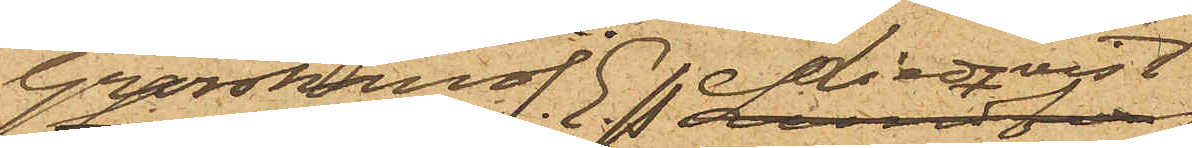Grosshandl. E.P. Lindqvist
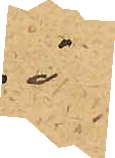i
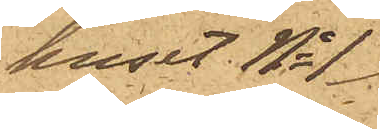huset No 1
